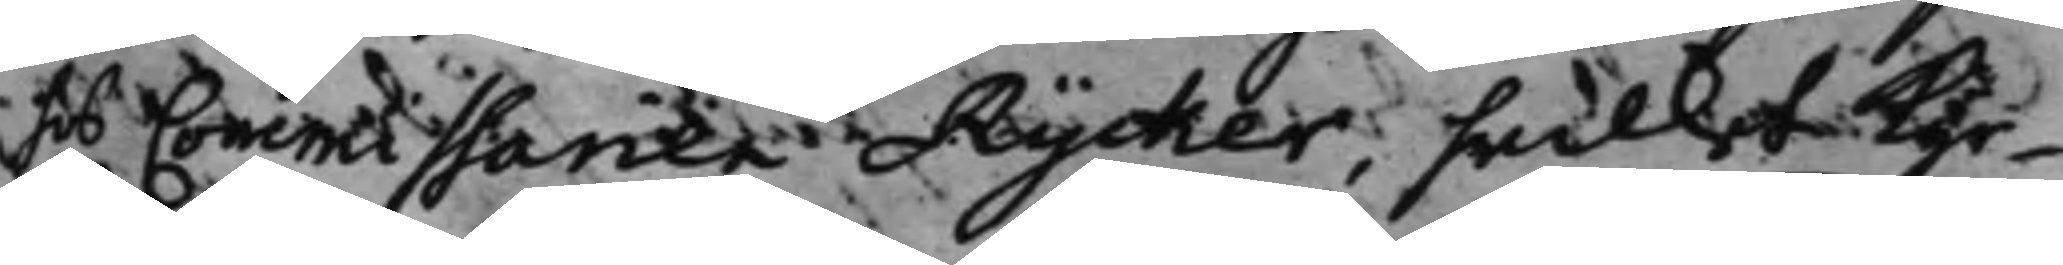hos Commissarien Rycker, hwilket Kyr¬
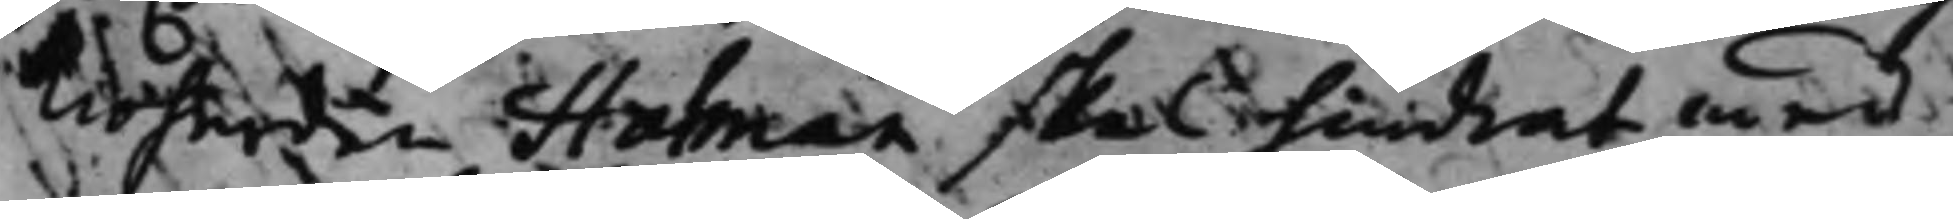kioherden Halman skall hindrat med
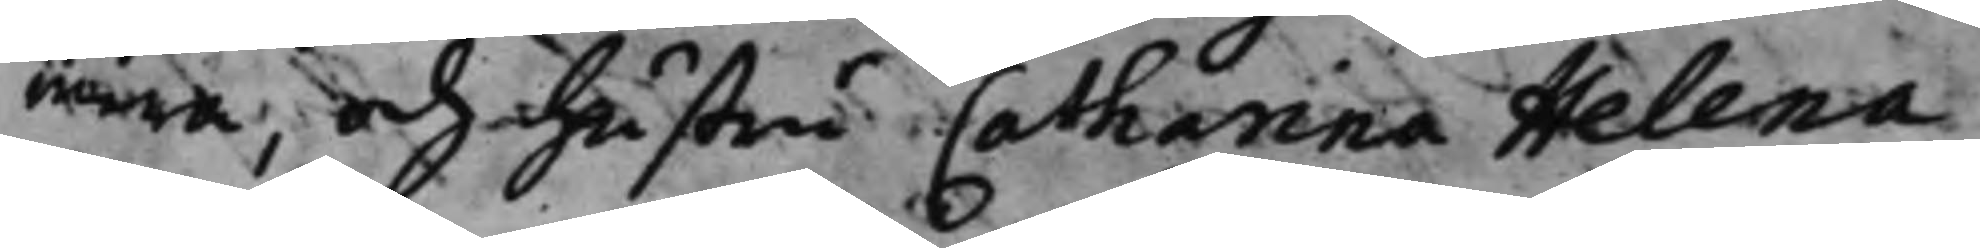mera, och hustru Catharina Helena
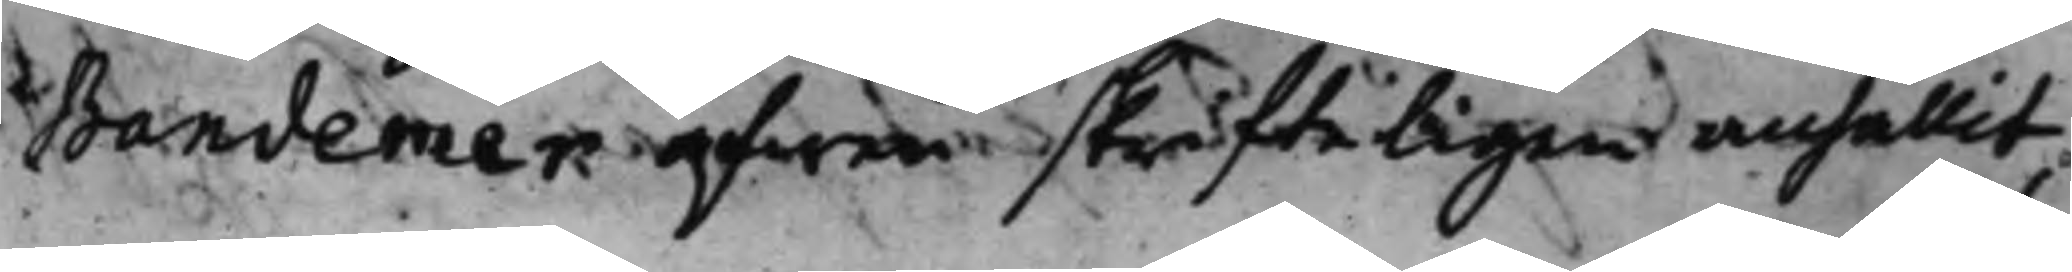Bandemer äfwen skrifteligen anhållit,
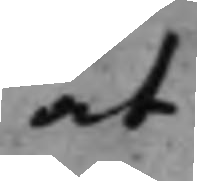at
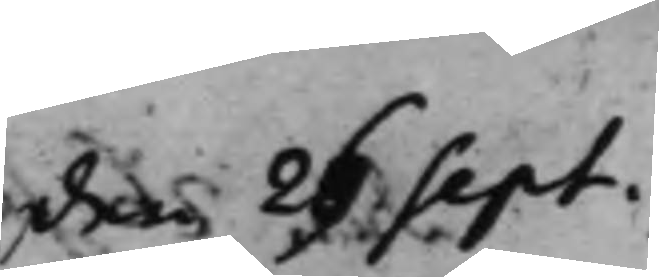den 26 Sept.
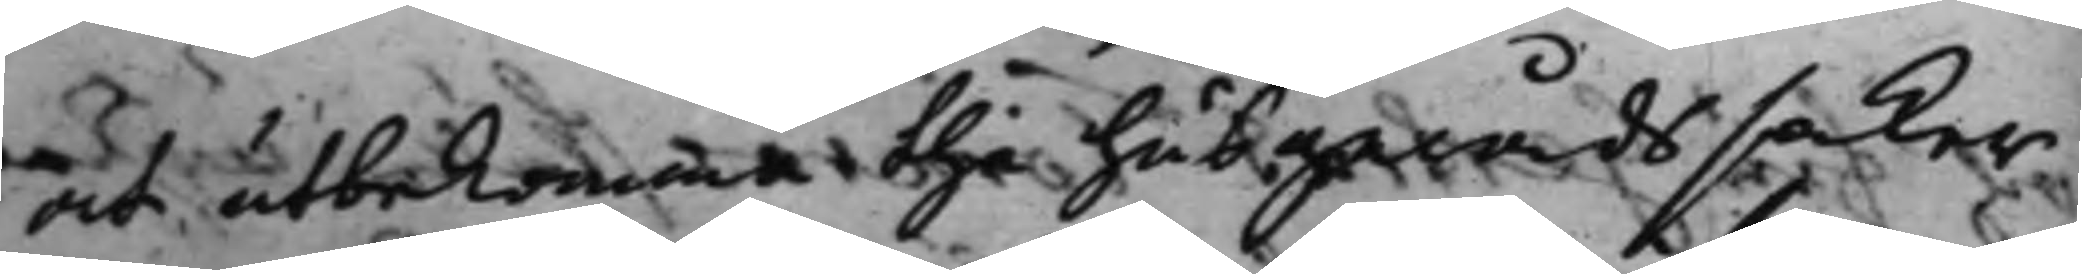at utbekomma the husgerådssaker
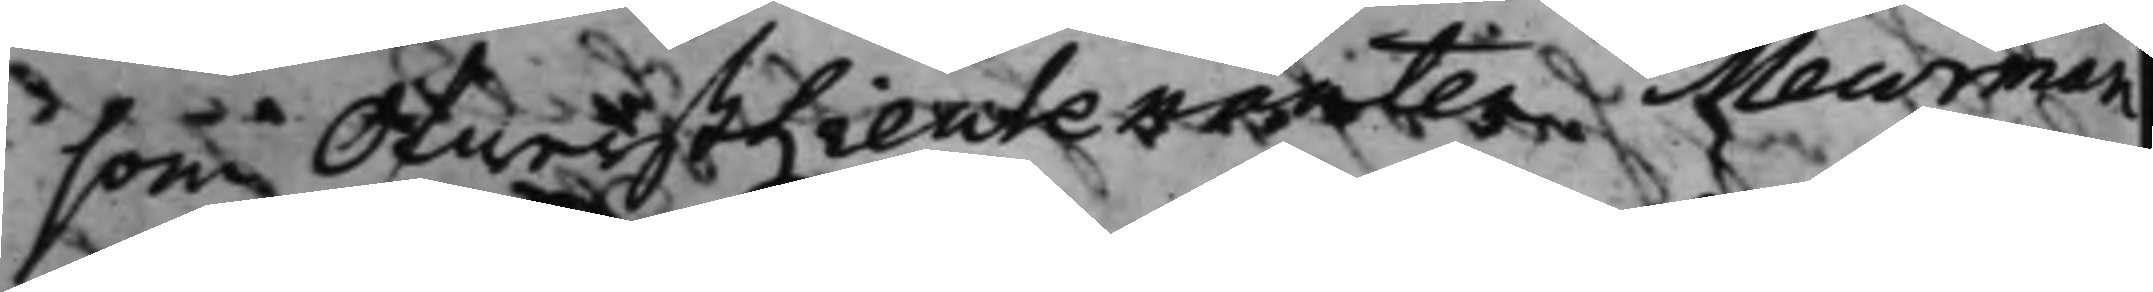som ÖfwerstLieutenanten Meurman
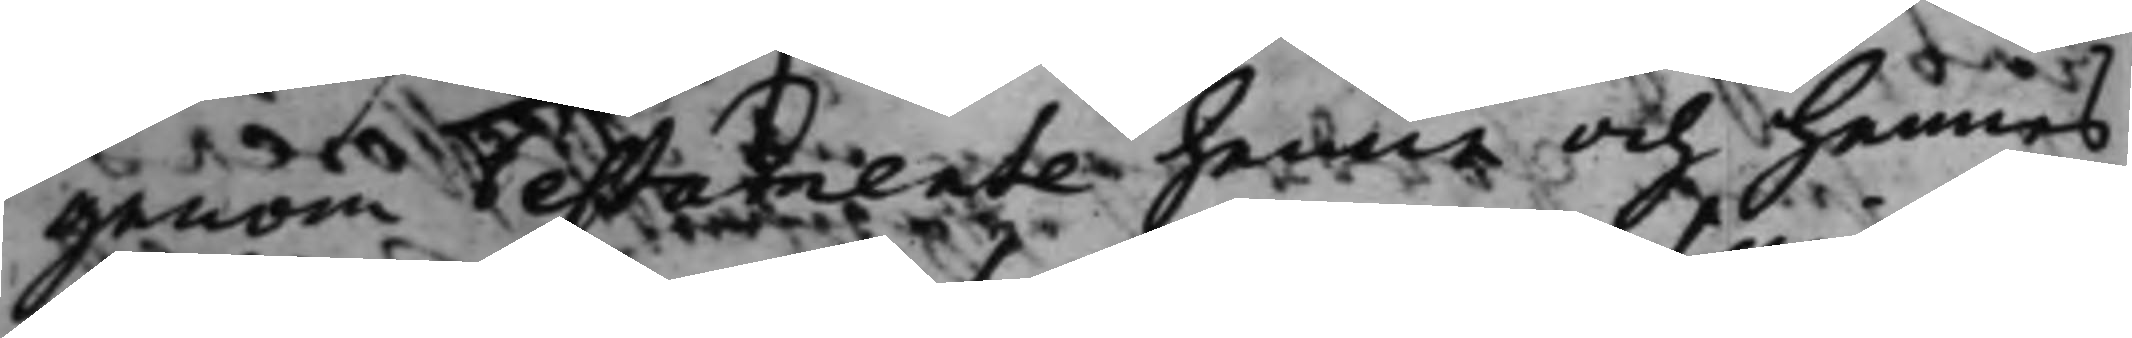genom Testamente henne och hennes
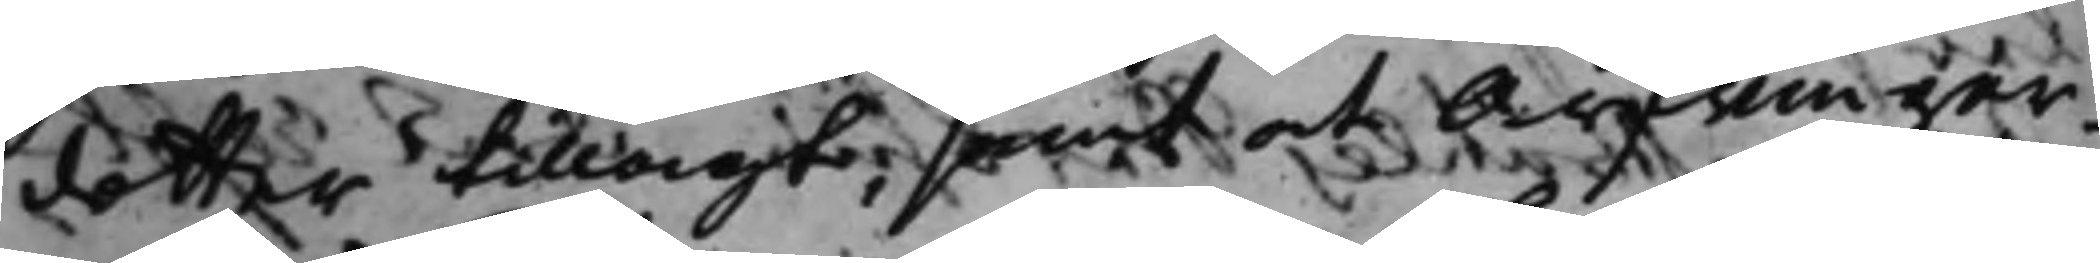dotter tillagt; samt at Arfwingar¬
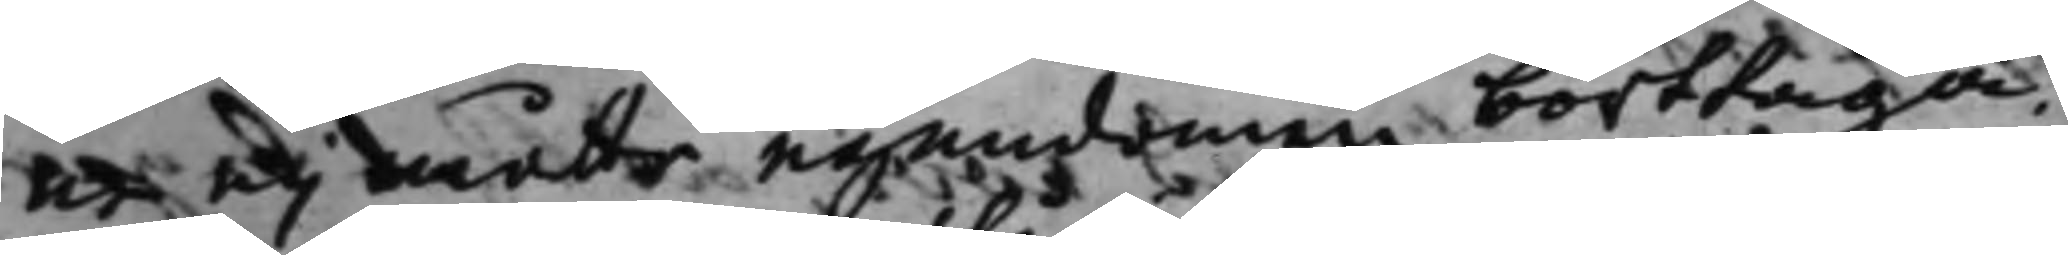ne eij måtte egendomen borttaga.
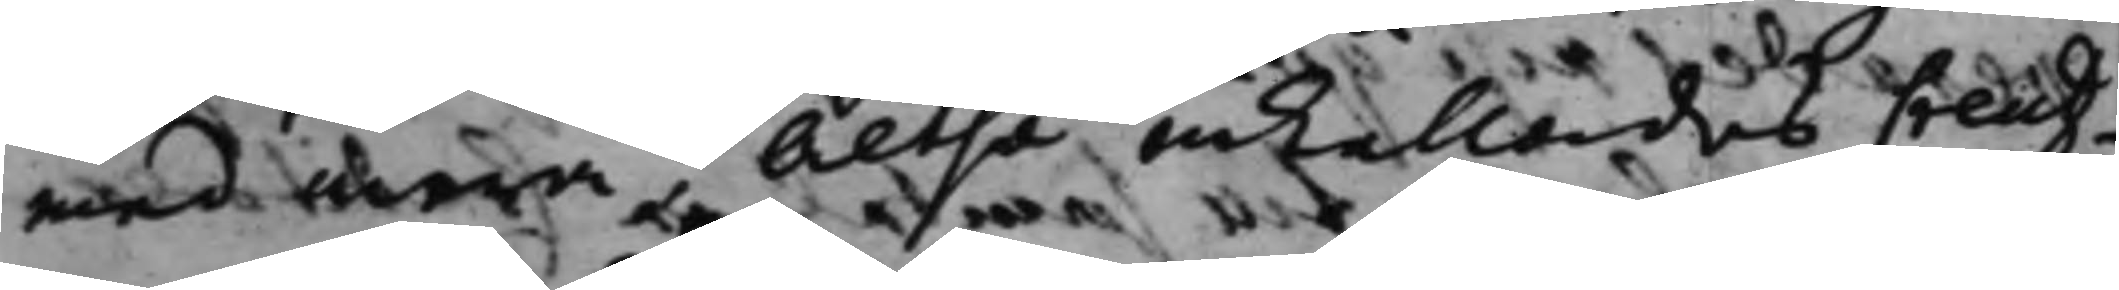med mera; Altså inkallades Creutz¬
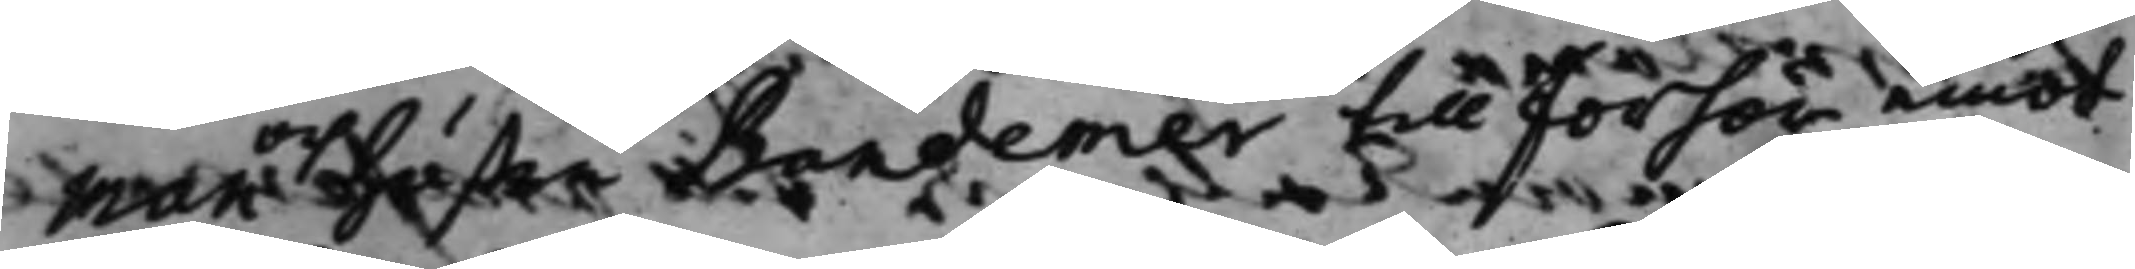man och hustru Bandemer till förhör emot
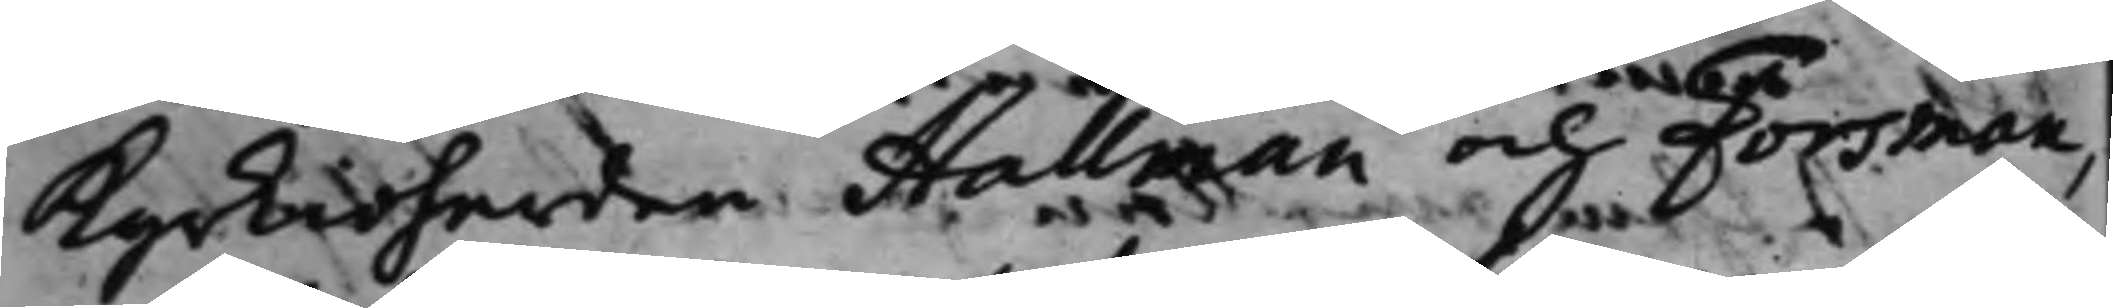Kyrkioherden Hallman och Forsman,
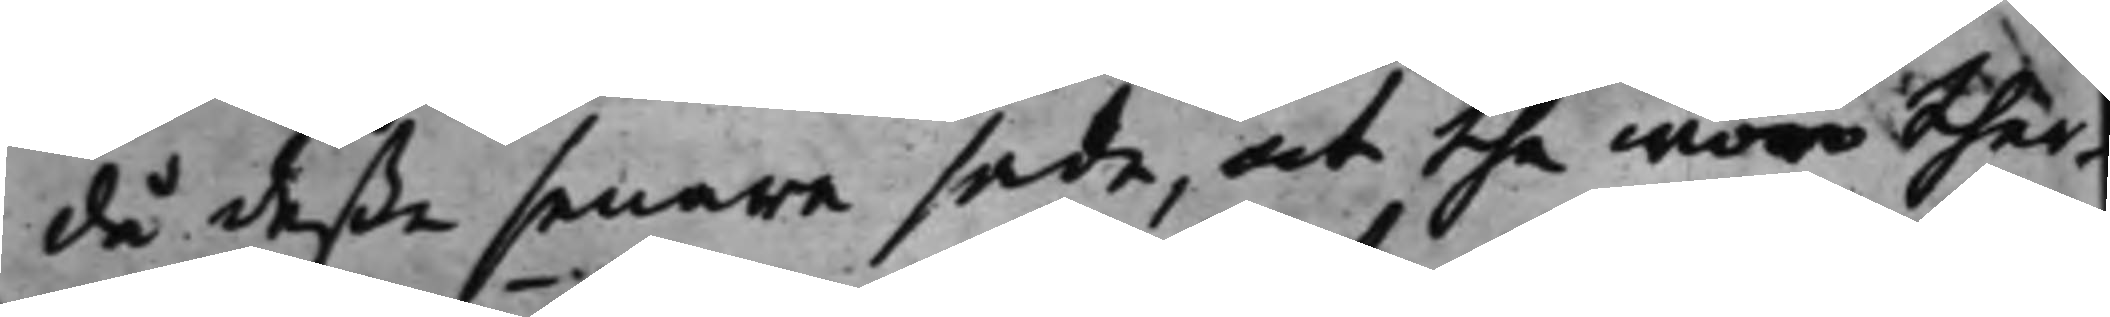då deße senare sade, at the woro ther¬
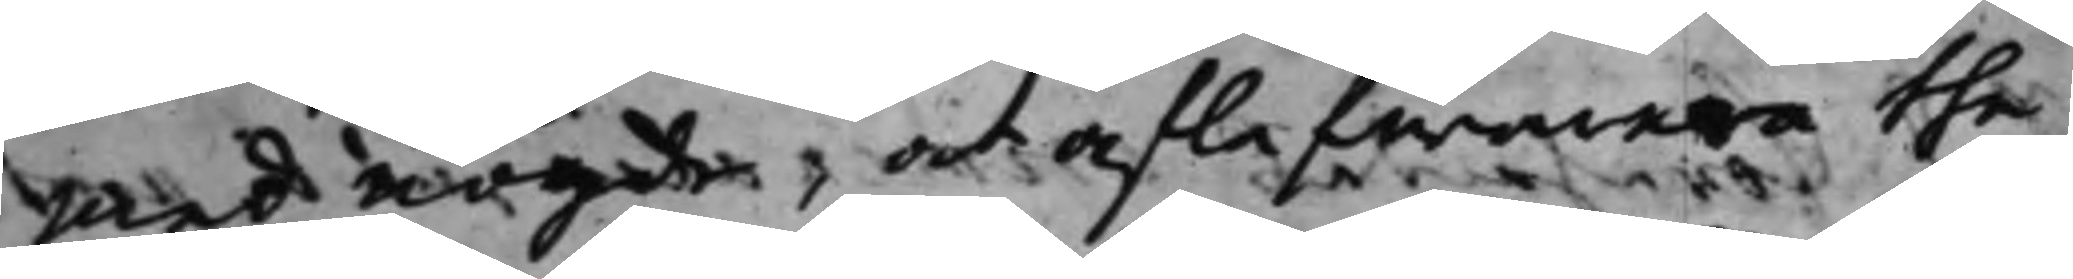med nögde, at aflefwerera the
